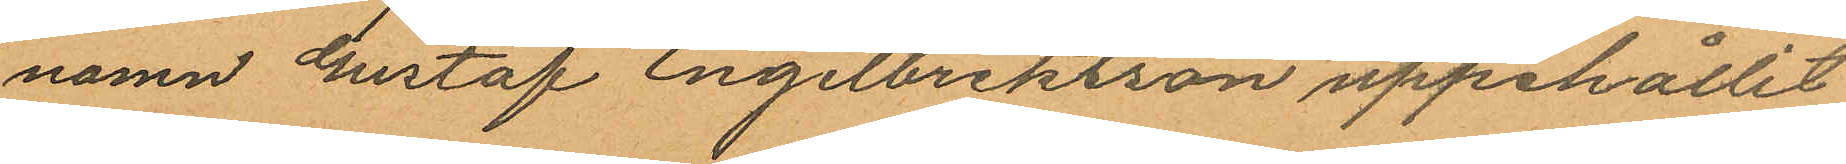namn Gustaf Engelbrektson uppehållit
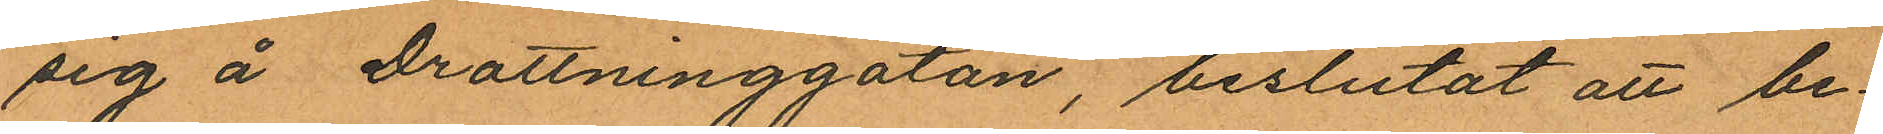sig å Drottninggatan, beslutat att be¬
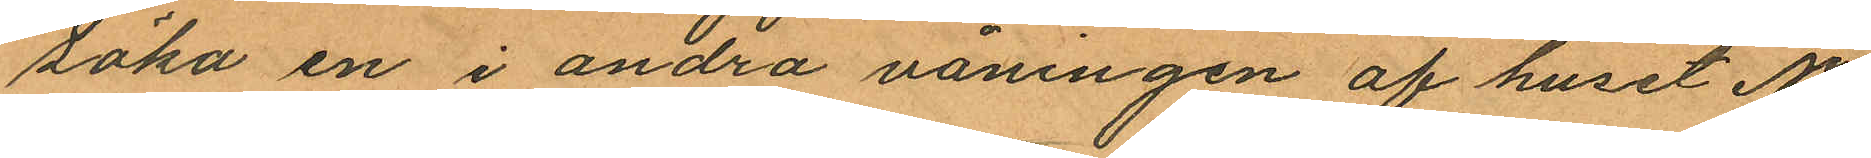söka en i andra våningen af huset No
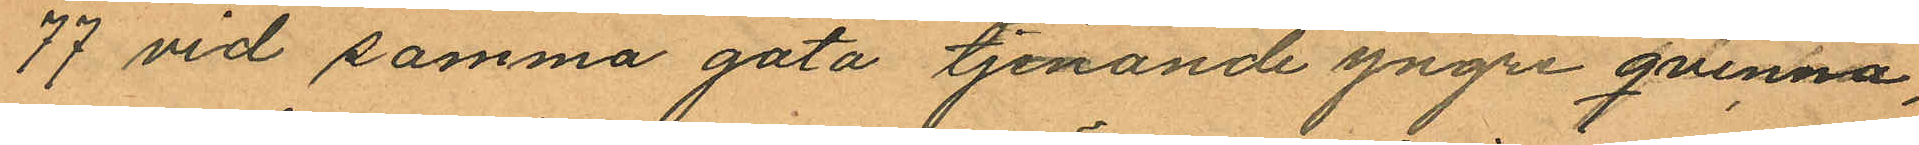77 vid samma gata tjenande yngre qvinna,
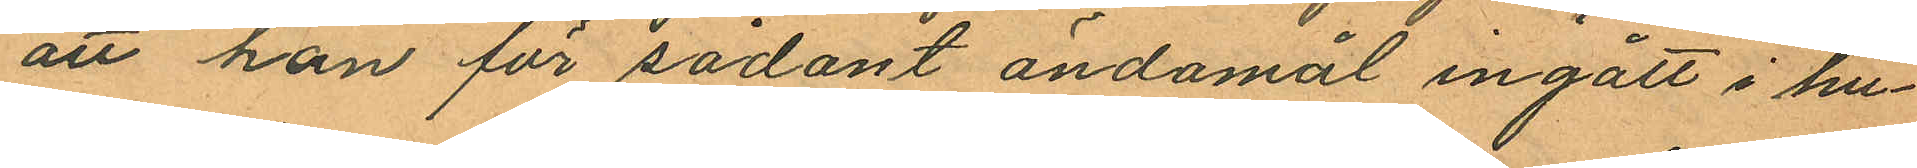att han för sådant ändamål ingått i hu¬
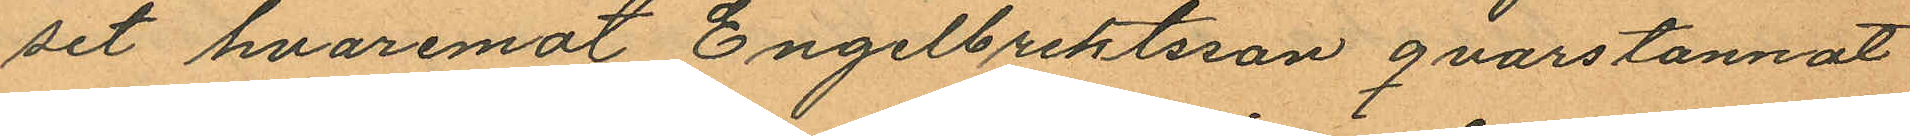set hvaremot Engelbrektsson qvarstannat
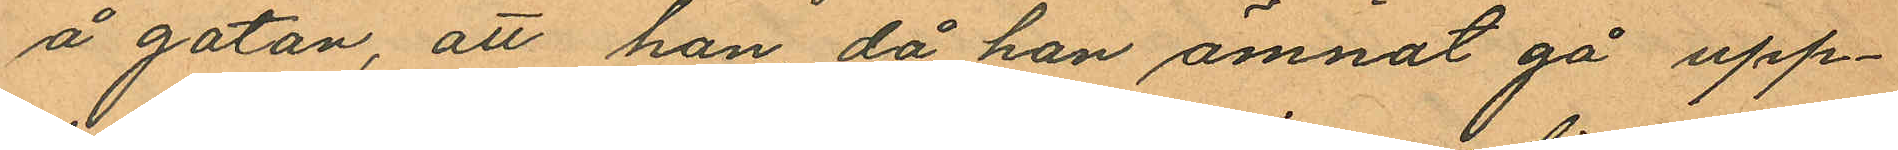å gatan, att han då han ämnat gå upp¬
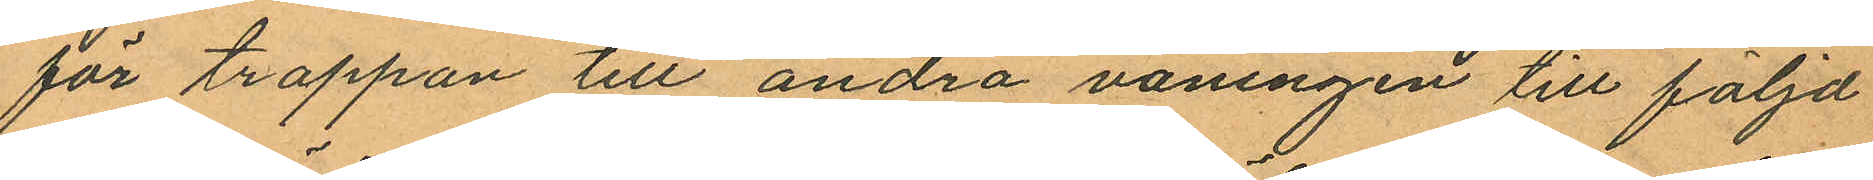för trappan till andra våningen till följd
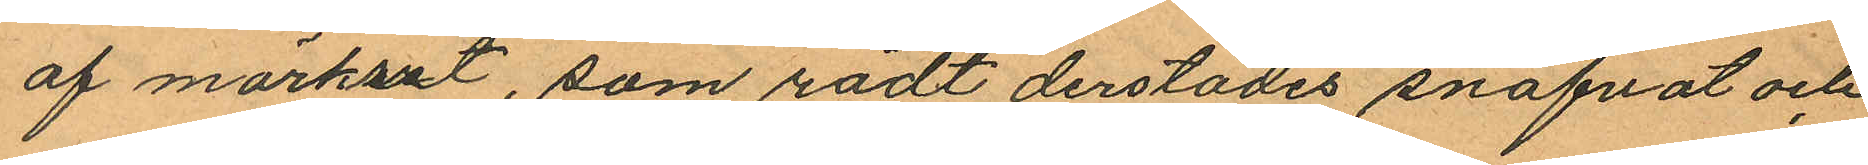af mörkret, som rådt derstädes snafvat och
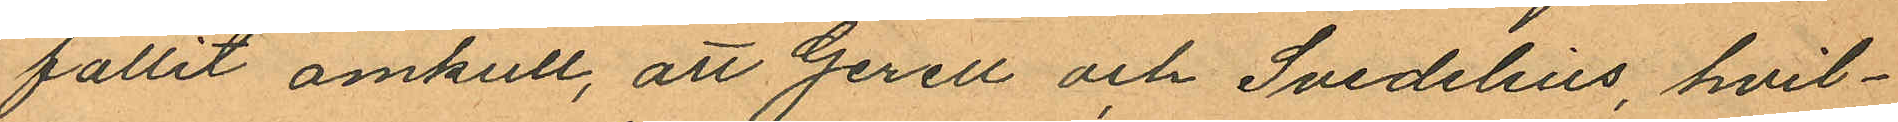fallit omkull, att Gerell och Svedelius hvil¬
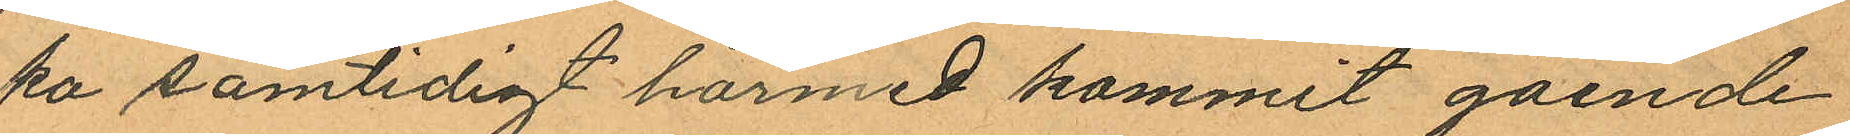ka samtidigt härmed kommit gående
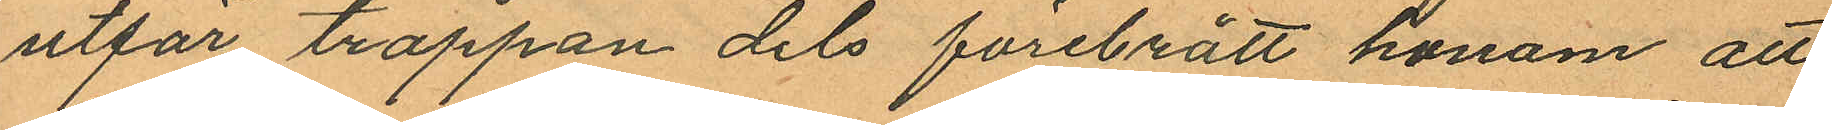utför trappan dels förebrått honom att
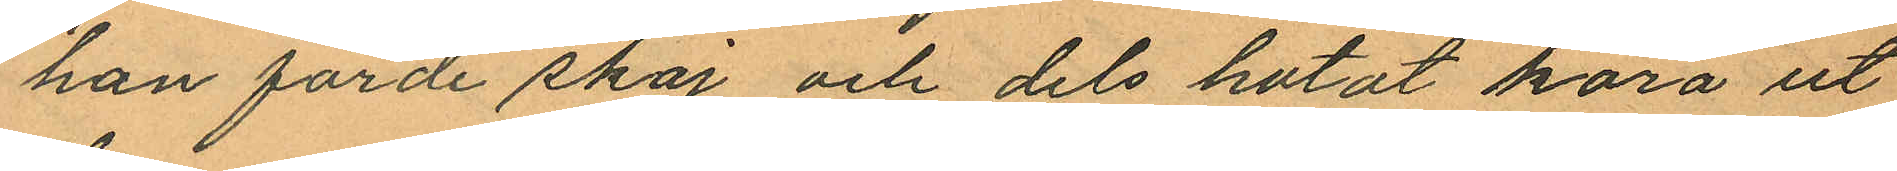han förde stoj och dels hotat köra ut
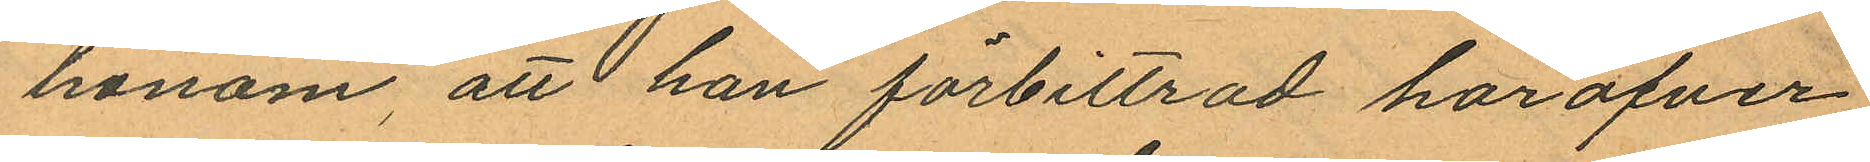honom, att han förbittrad haröfver
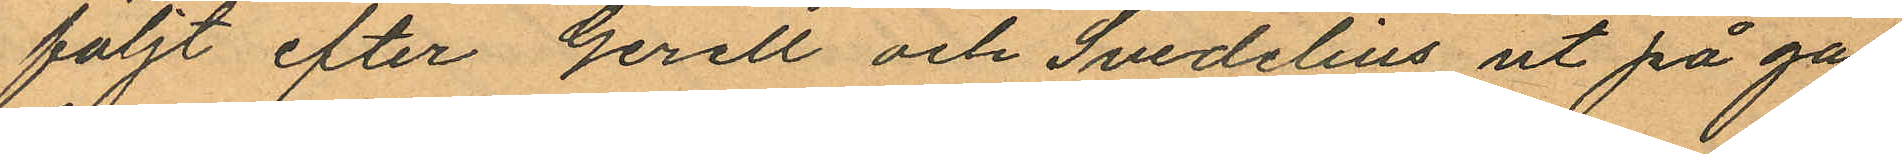följt efter Gerell och Svedelius ut på ga¬
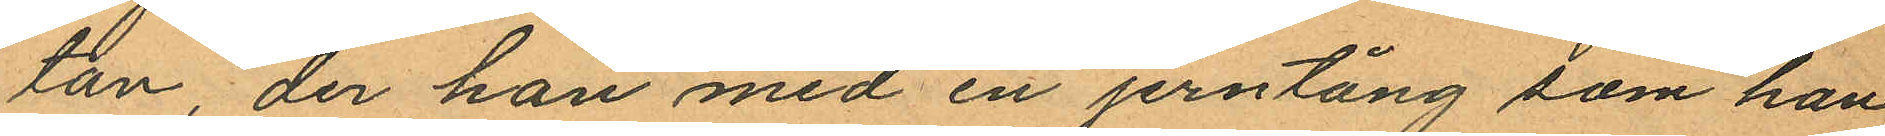tan, der han med en jerntång som han
